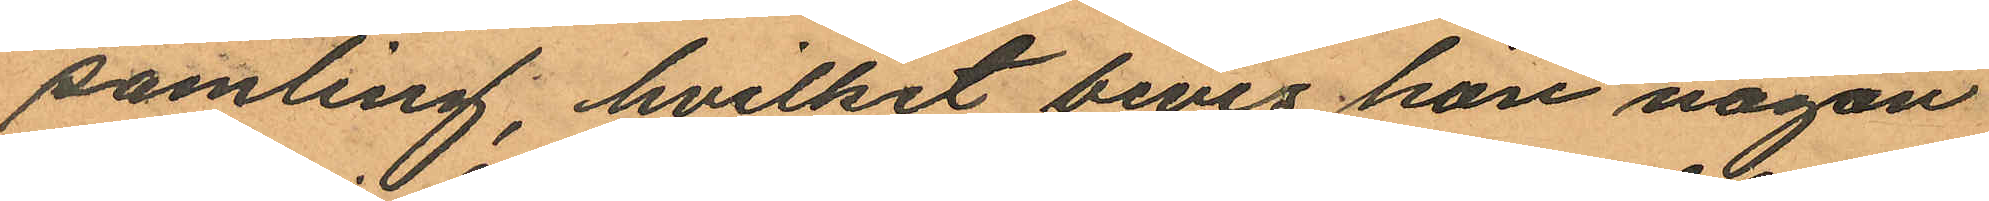samling, hvilket bevis hon någon
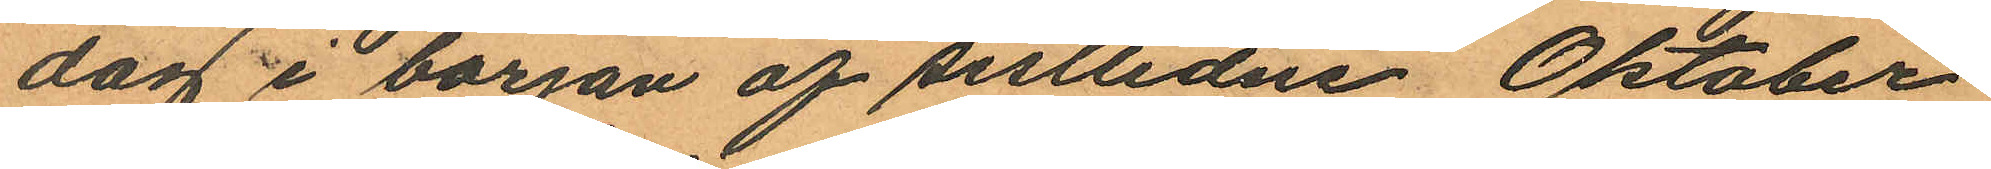dag i början af sistlidne Oktober
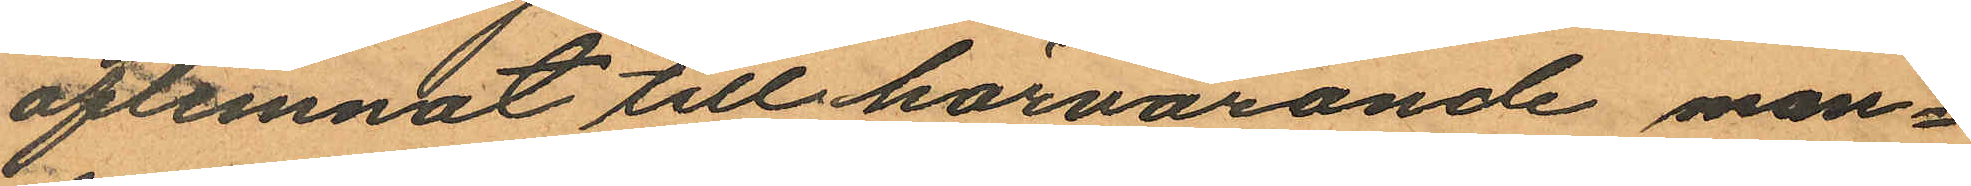aflemnat till härvarande man¬
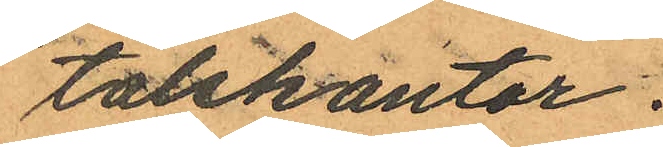talskontor.
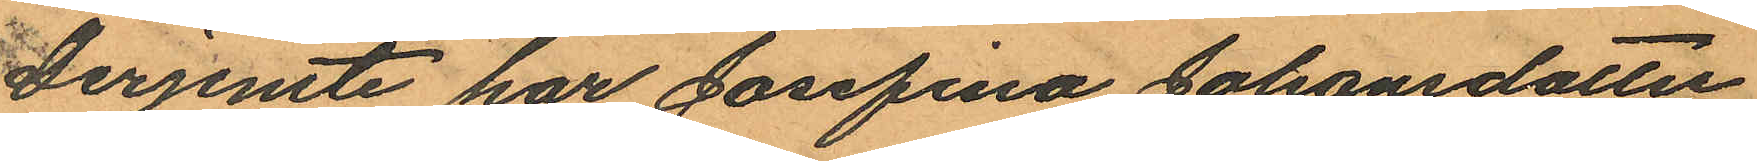Derjemte har Josefina Johansdotter
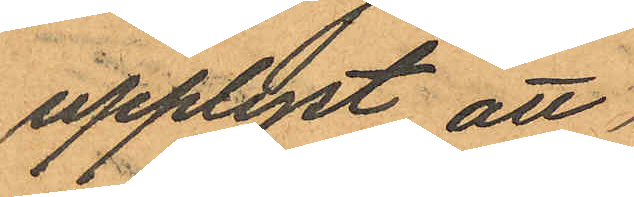upplyst att
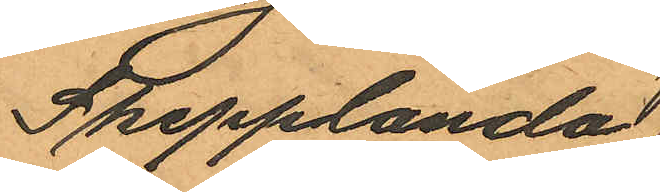Skepplanda
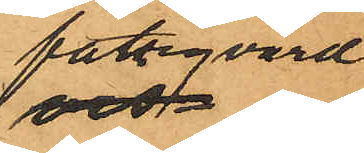fattigvård
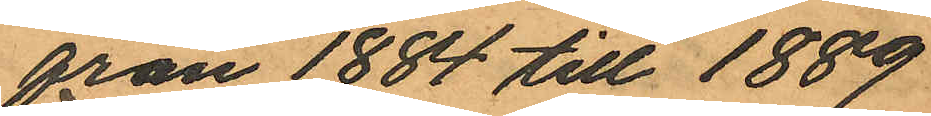från 1884 till 1889
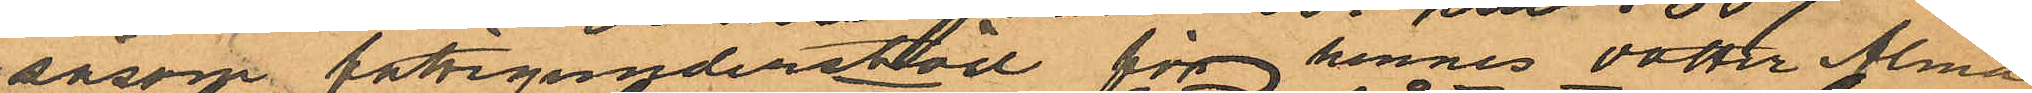såsom fattigunderstöd för hennes dotter Alma
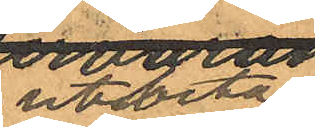utbetalt
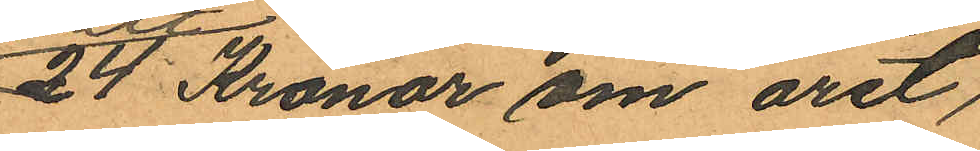24 Kronor om året
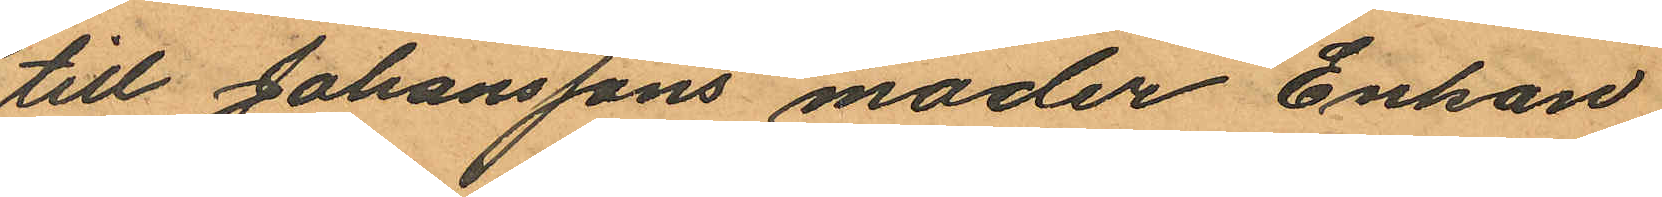till Johanssons moder Enkan
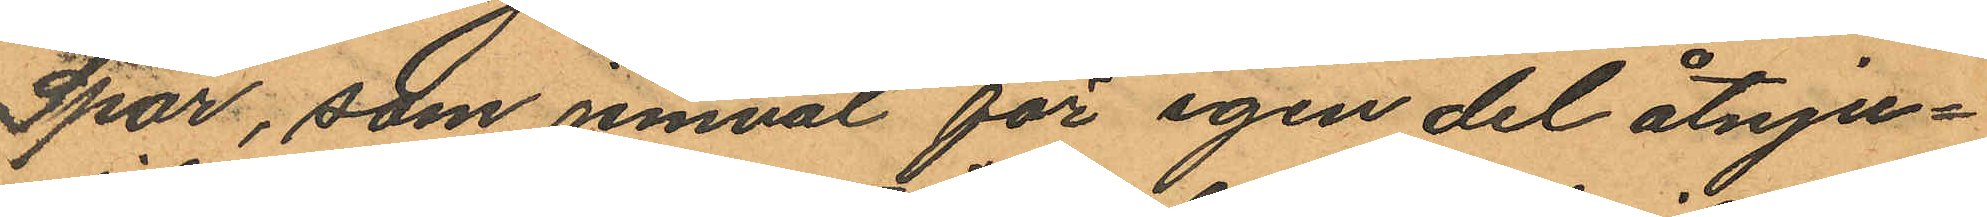Spar, som jemväl för egen del åtnju¬
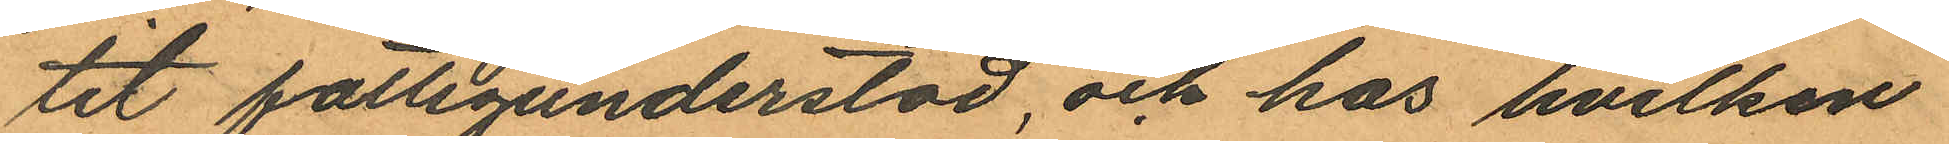tit fattigunderstöd, och hos hvilken
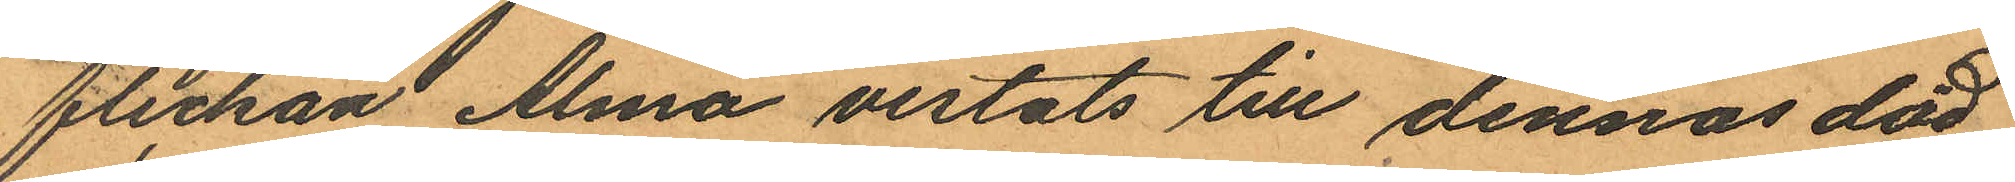flickan Alma vistats till dennas död
